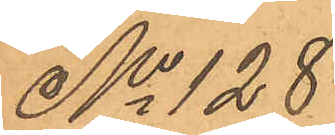No 128
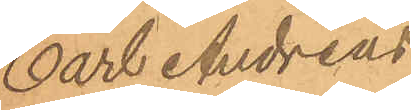Carl Andreas
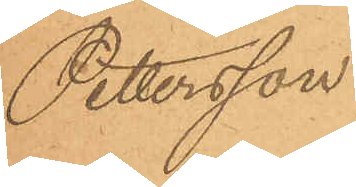Pettersson.
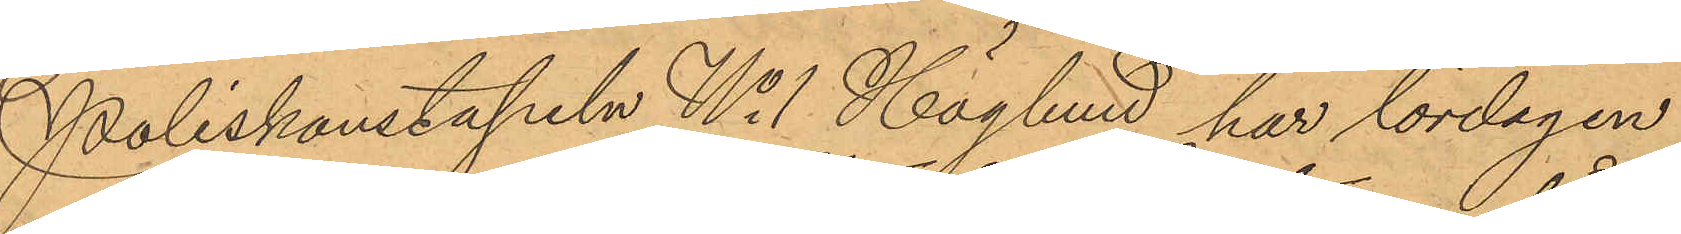Poliskonstapeln No 1 Höglund har lördagen
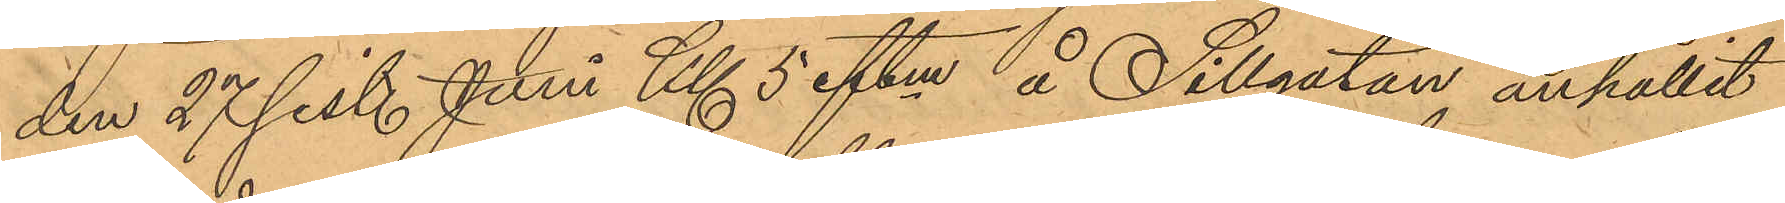den 27 sist. Juni Kl 5 eftm å Sillgatan anhållit
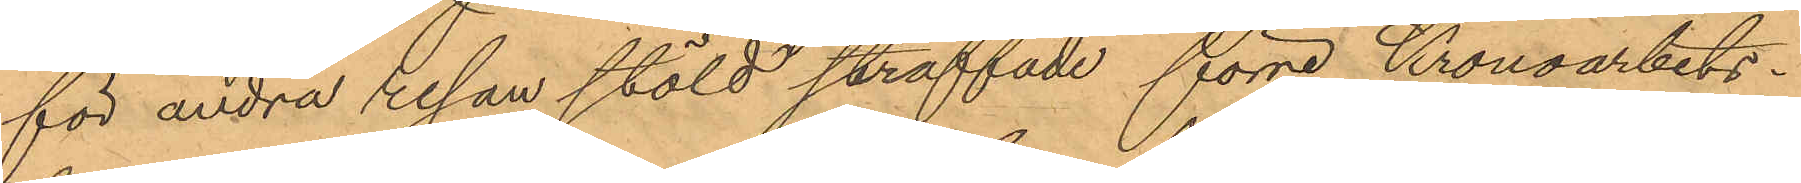för andra resan stöld straffade förre Kronoarbets¬
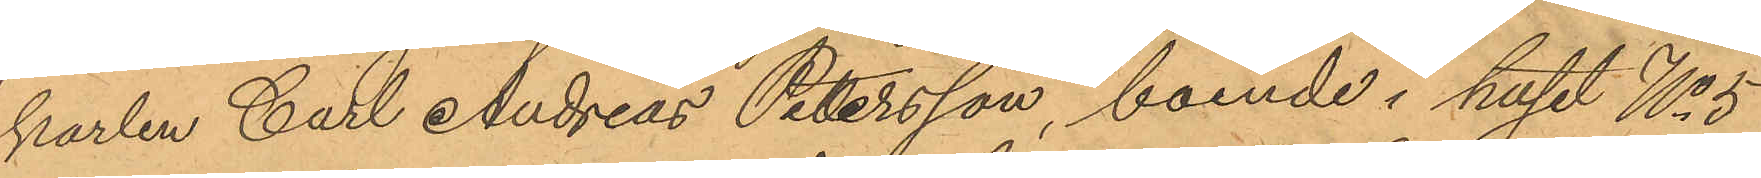karlen Carl Andreas Petersson, boende i huset No 5
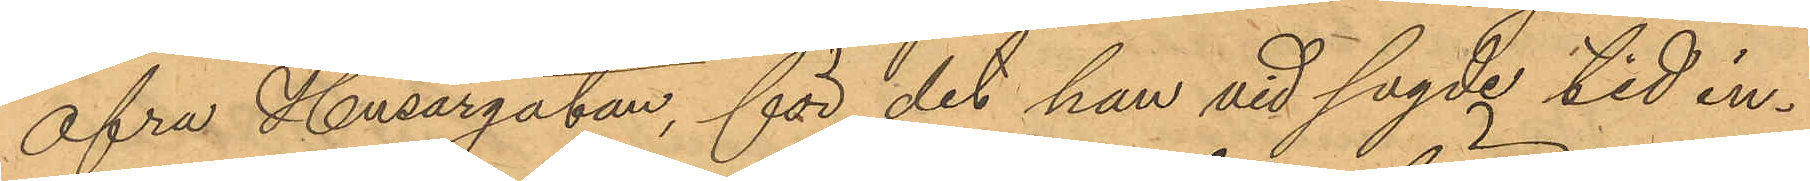Öfra Husargatan, för det han vid sagde tid in¬
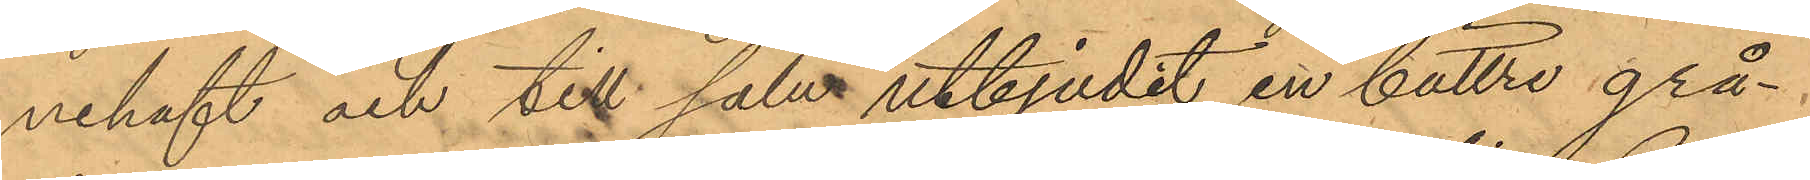nehaft och till salu utbjudit en bättre grå¬
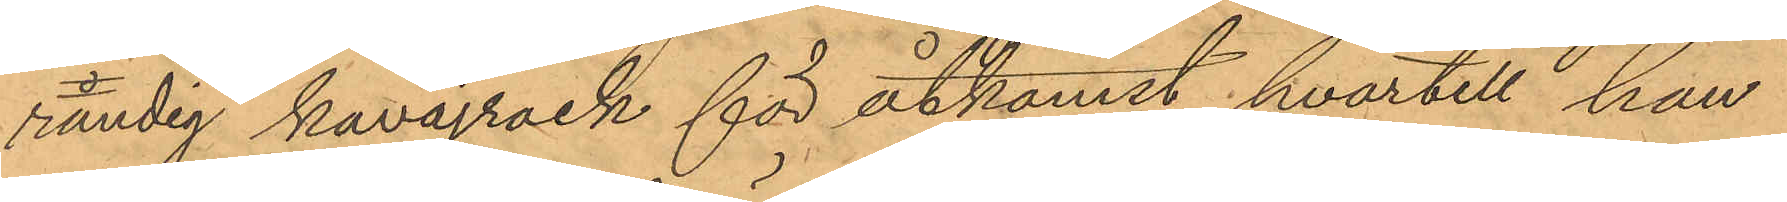randig kavajrock för åtkomst hvartill han
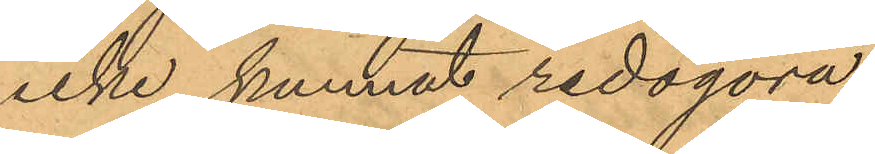icke kunnat redogöra.
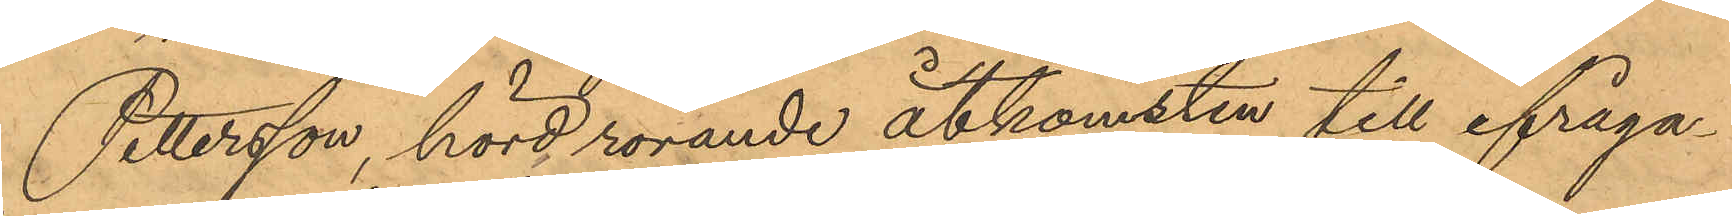Pettersson hörd rörande åtkomsten till ifråga¬
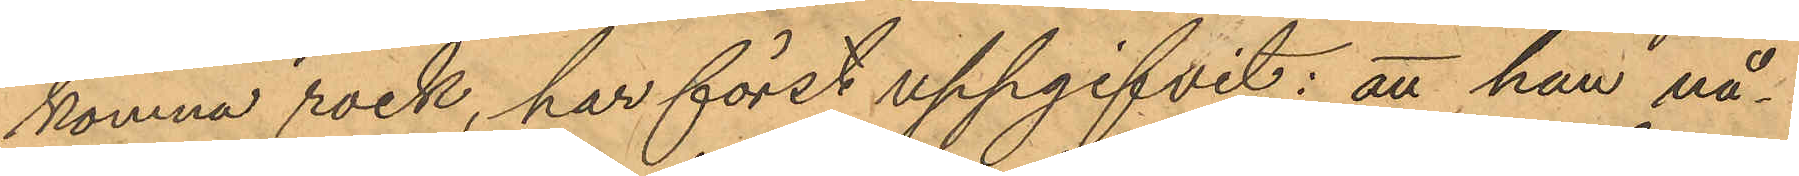komna rock, har först uppgifvit: att han nå¬
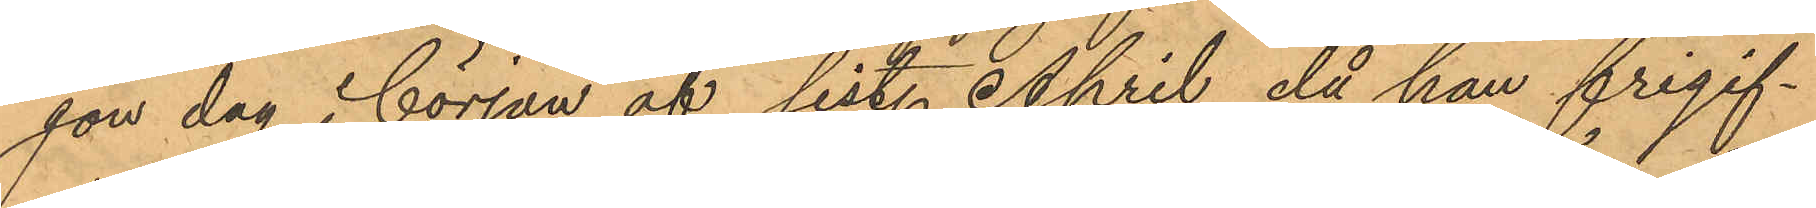gon dag i början af sist. April då han frigif¬
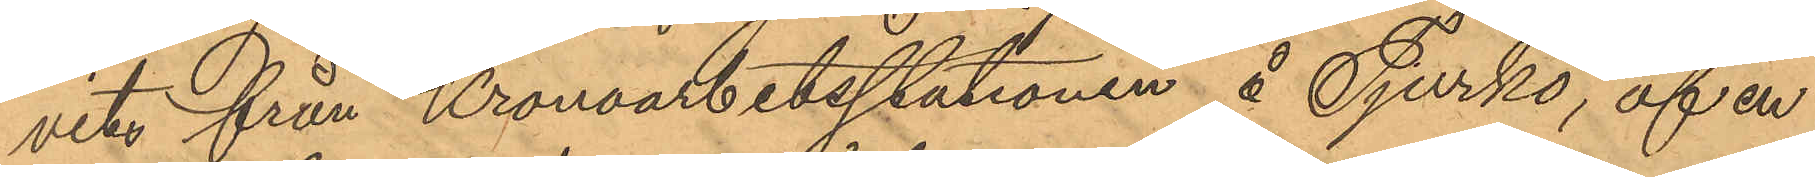vits från Kronoarbetsstationen å Tjurkö, af en
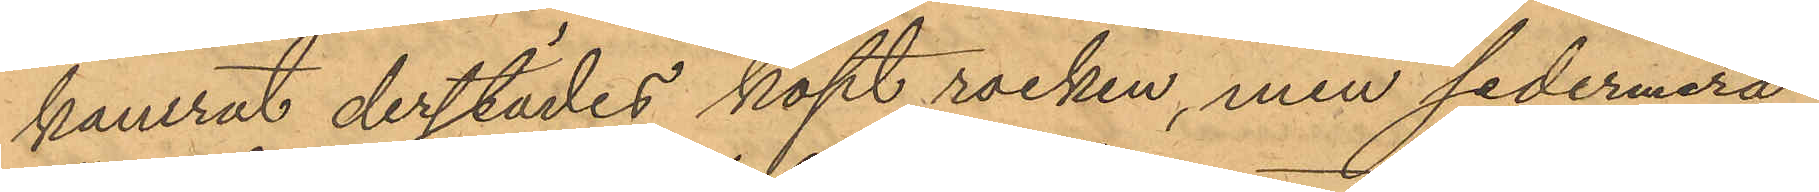kamrat derstädes köpt rocken, men sedermera
